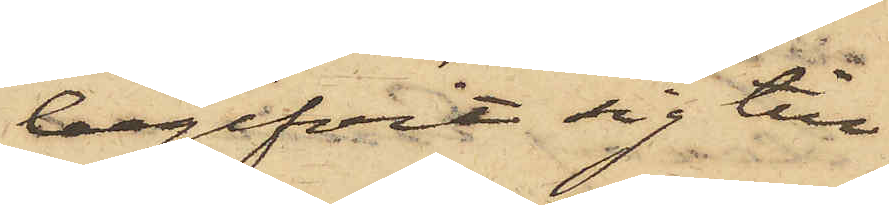begifvit sig till
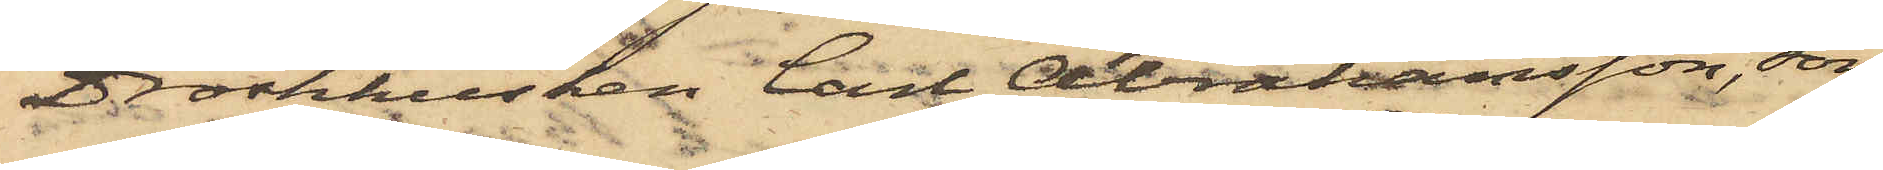Droskkusken Carl Abrahamsson, som
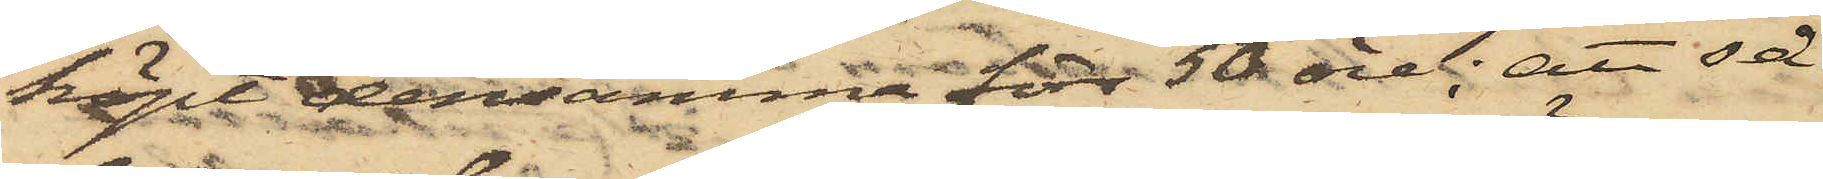köpt densamma för 50 öre; att så
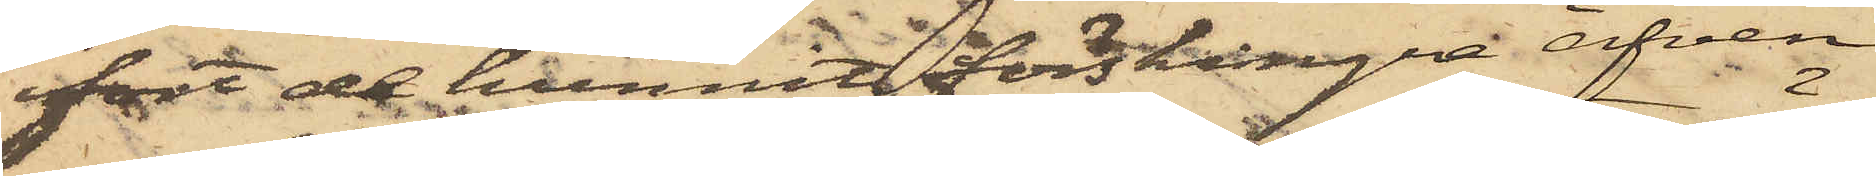fort de hunnit förskingra äfven
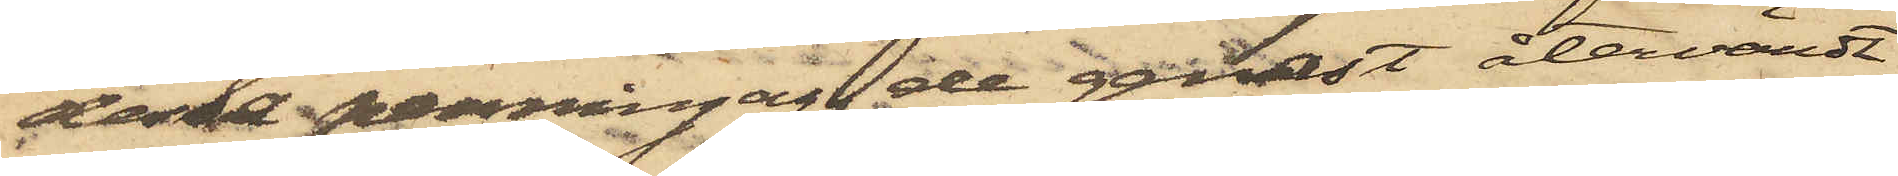dessa penningar, de genast återvändt
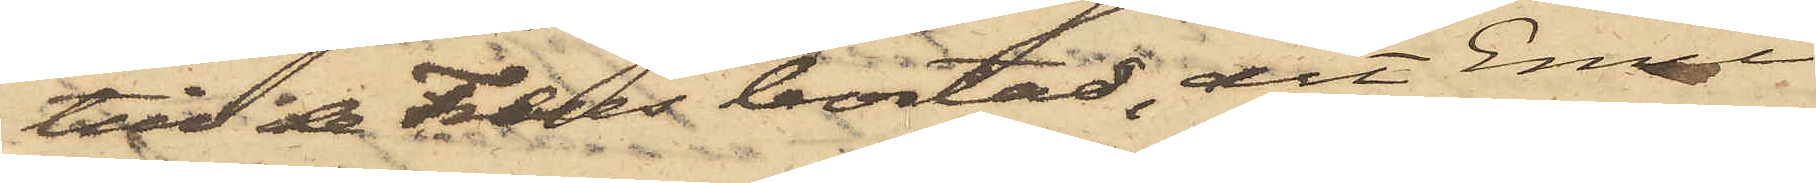till de Freses bostad, dit Emil
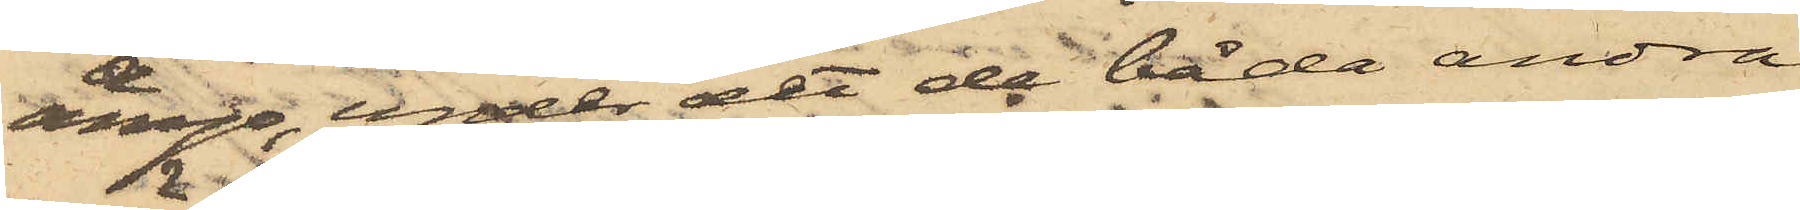ånyo, under det de båda andra
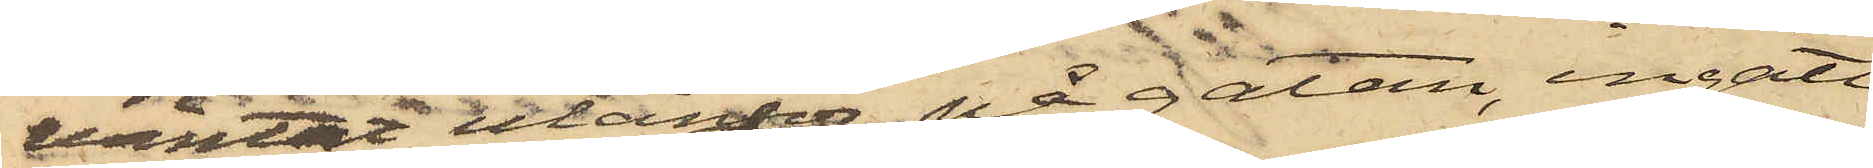väntat utanför på gatan, ingått
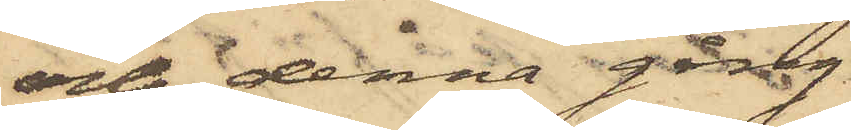och denna gång
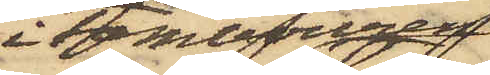i Tambouren
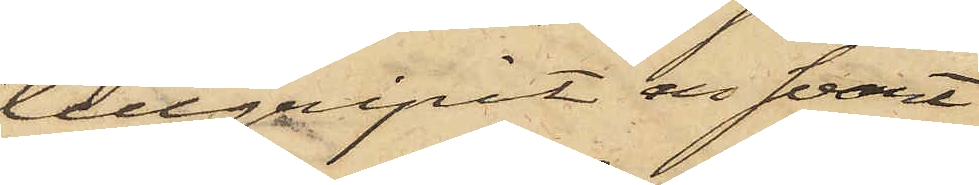tillgripit en svart
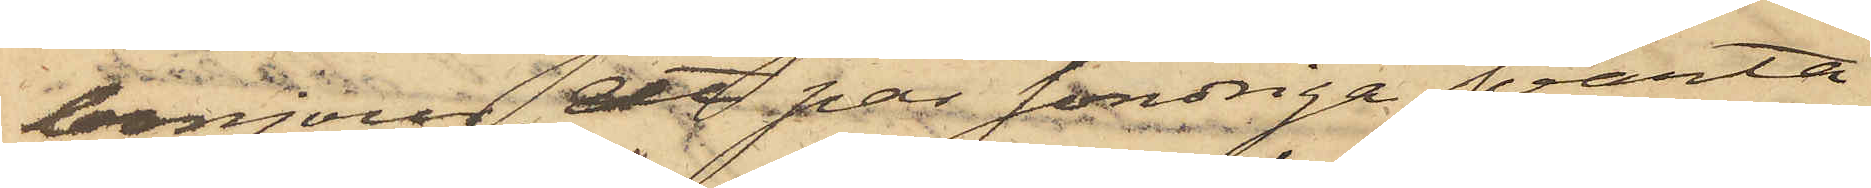bonjour, ett par söndrige svarta
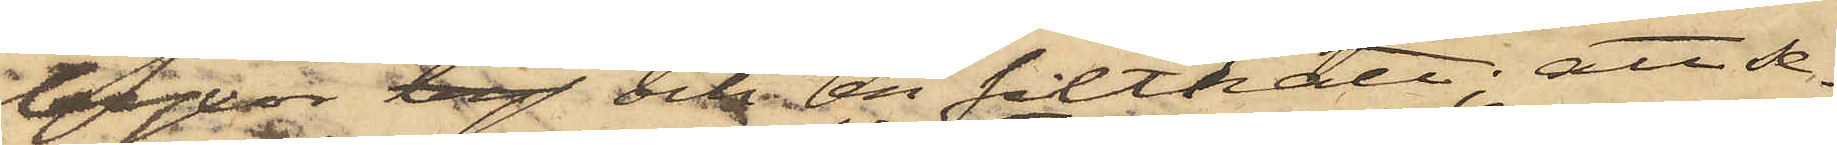byxor leg och en filthatt; att se¬
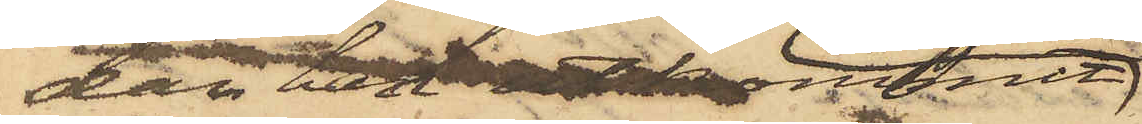dan han utkommen
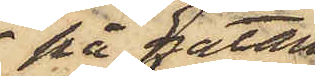på gatan,
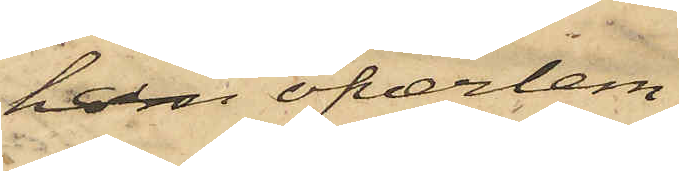han öfverlem¬
